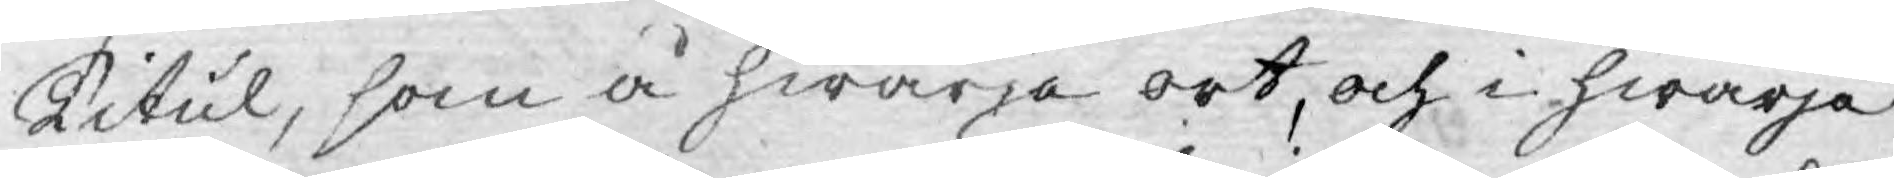Titul, som å hwarje ort, och i hwarje
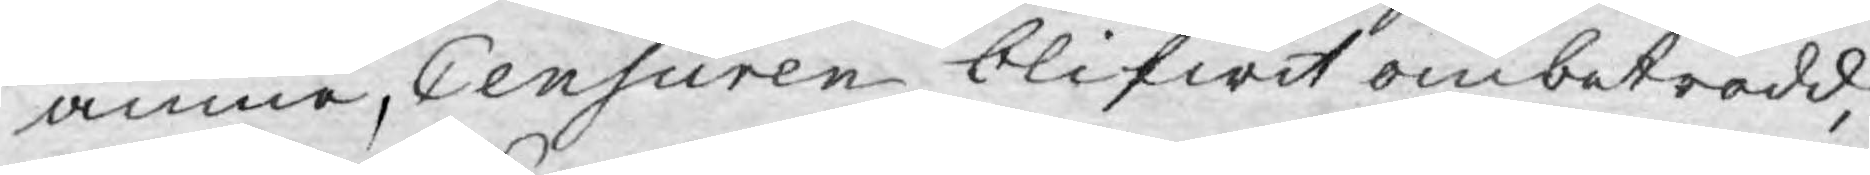ämne, Censuren blifwit ombetrodd,
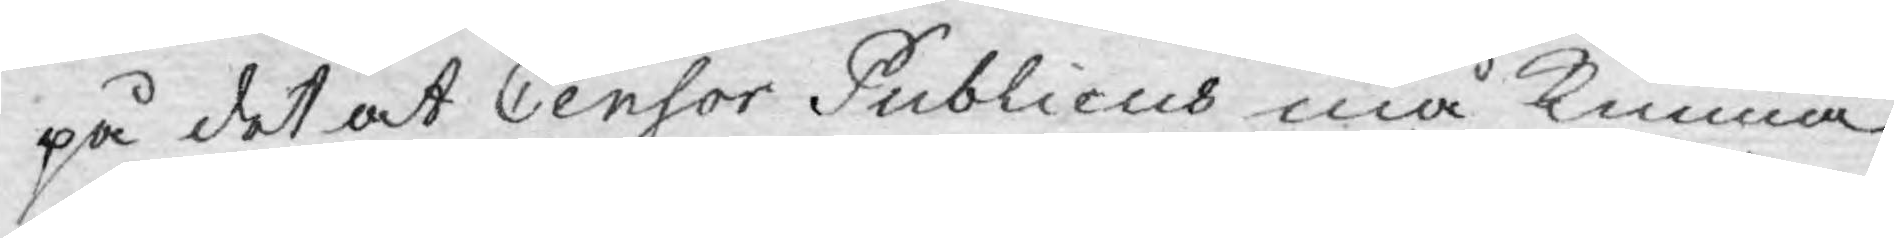på det at Censor Publicus må kunna
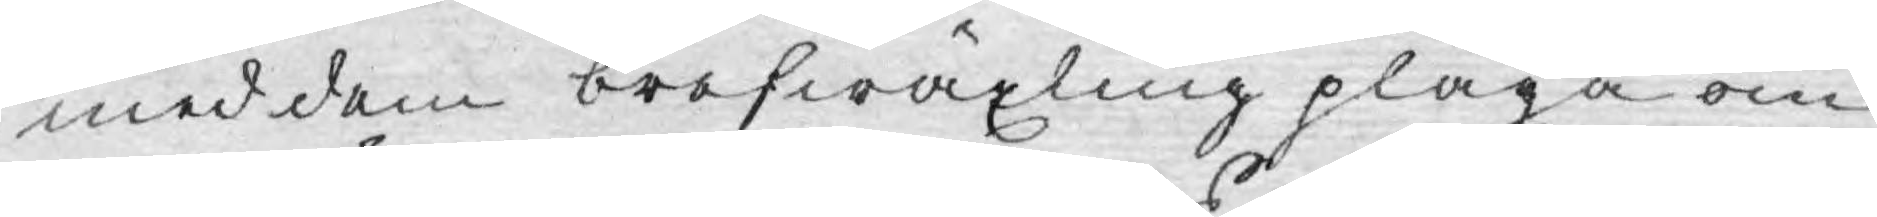med dem brefwäxling pläga om
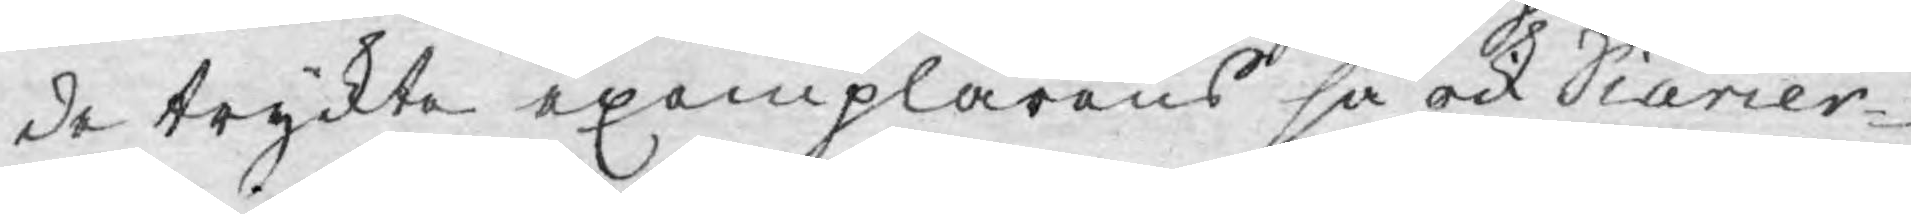de tryckte epemplarens så ock Diarier-
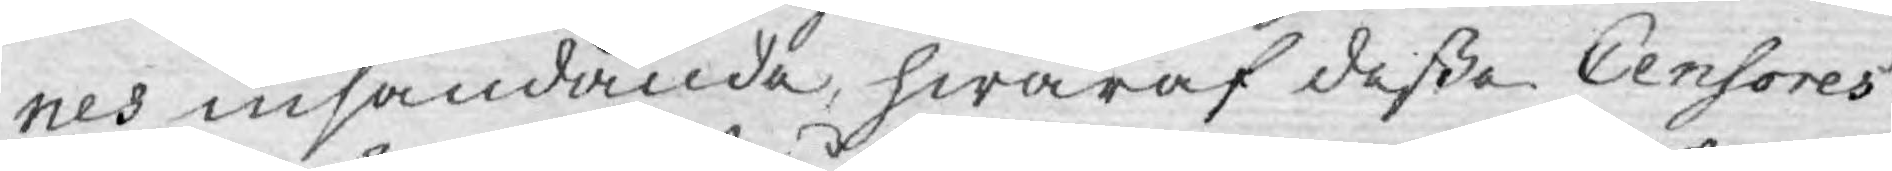nes insändande, hwaraf dessa Censores
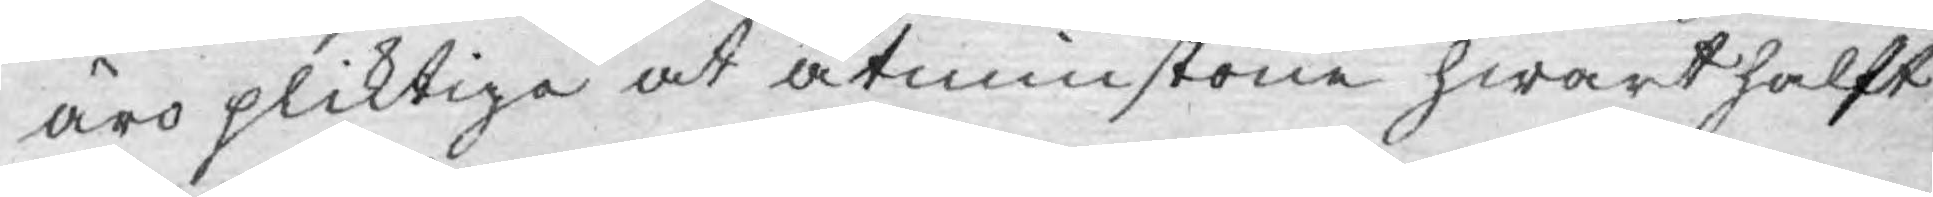äro pliktiga at åtminstone hwart halft
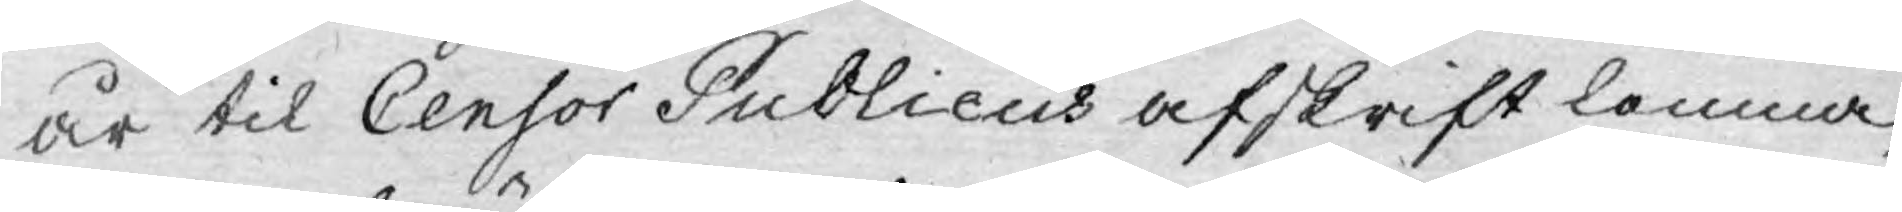år til Censor Publicus afskrift lemna,
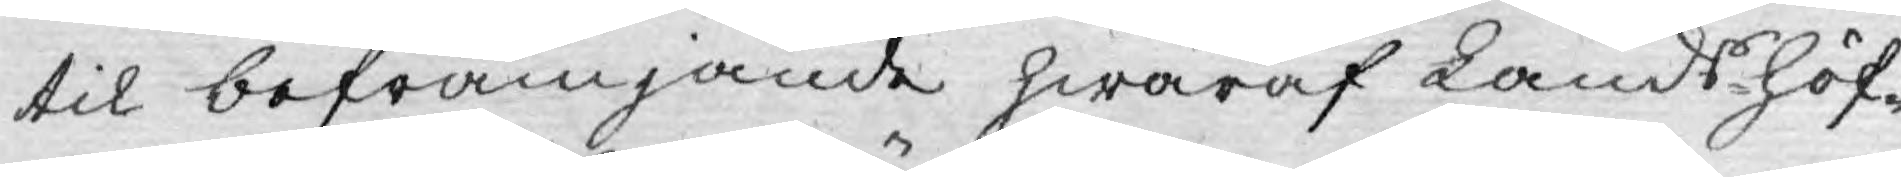til befrämjande hwaraf Landshöf¬
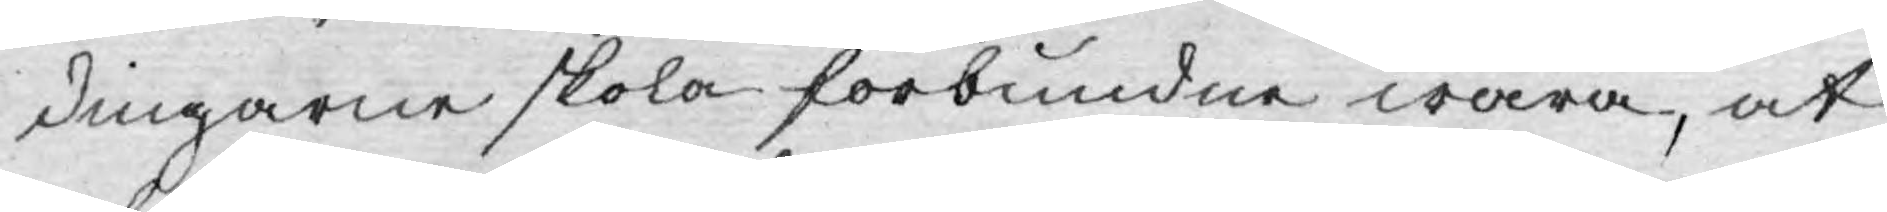dingarne skola förbundne wara, at
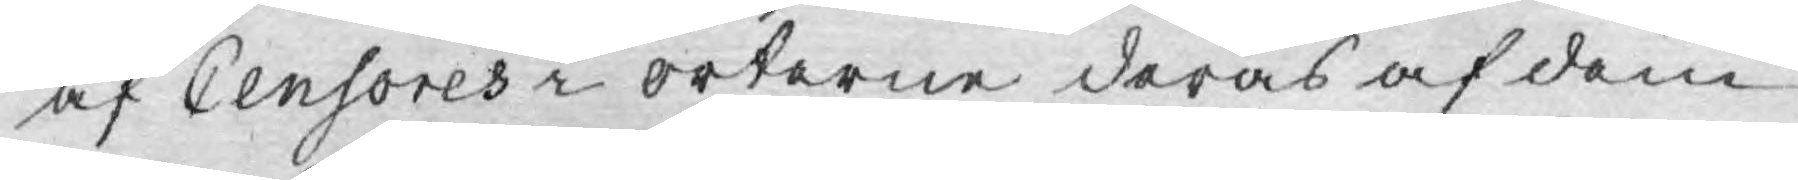af Censores i orterne deras af dem
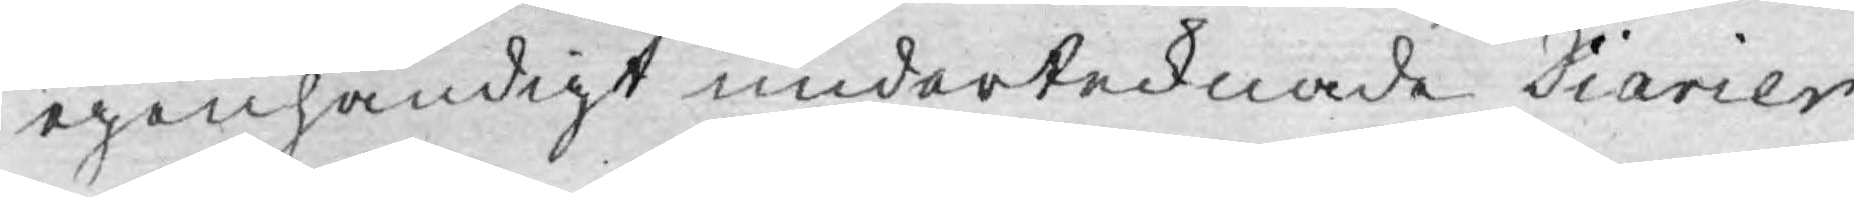egenhändigt undertecknade Diarier
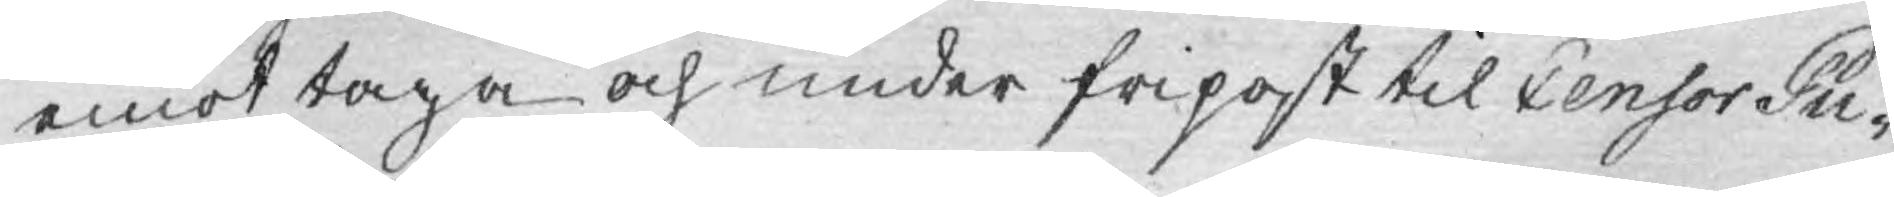emot taga och under fripost til Censor Pu¬
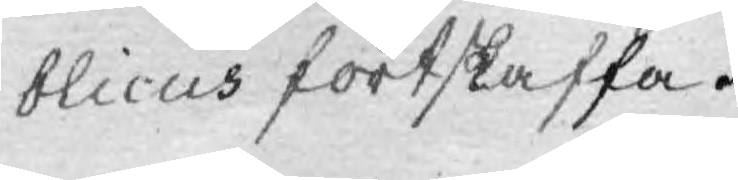blicus fortskaffa.
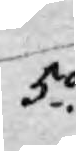5o.
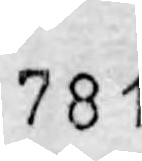781
